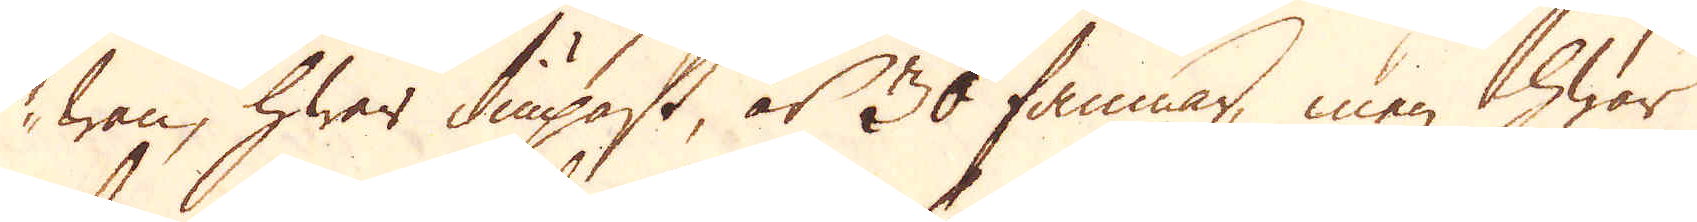wan, hwar diupast, är 30 famnar, men hwar
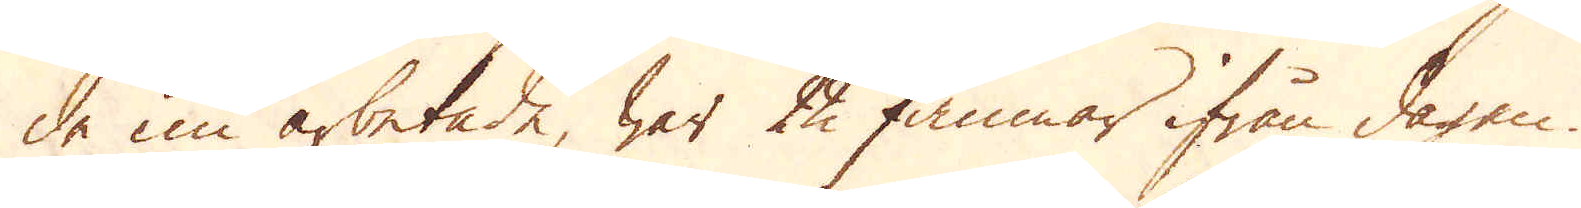de nu arbetade, war 22 famnar ifrån dagen
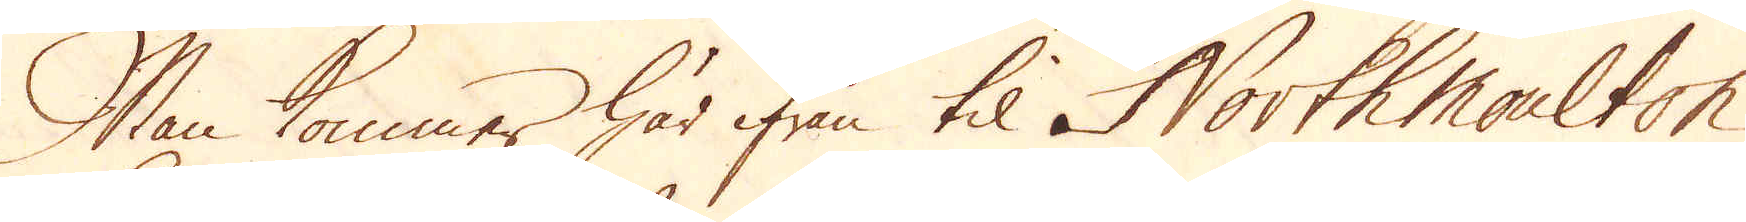Man kommer här ifrån til North moulton
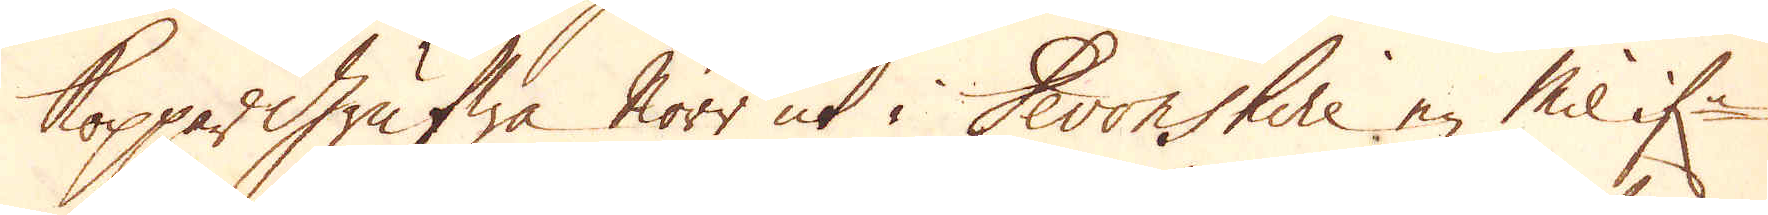Koppargrufwa Norr ut i Devonshire en Mil if:n
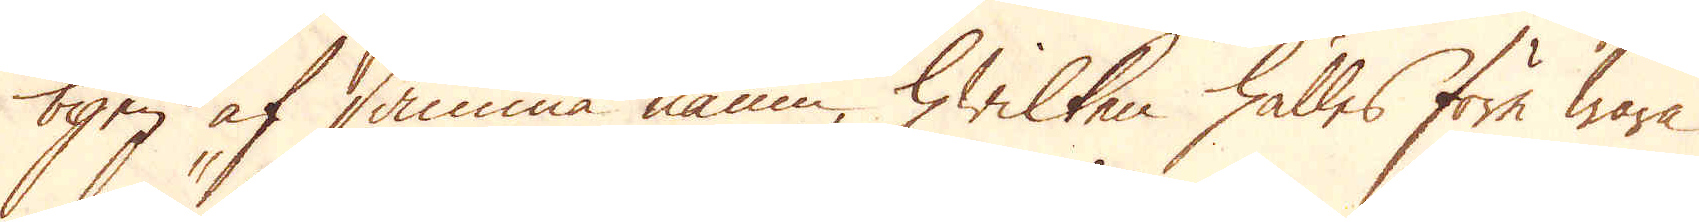byen af samma namn, hwilken hålles före wara
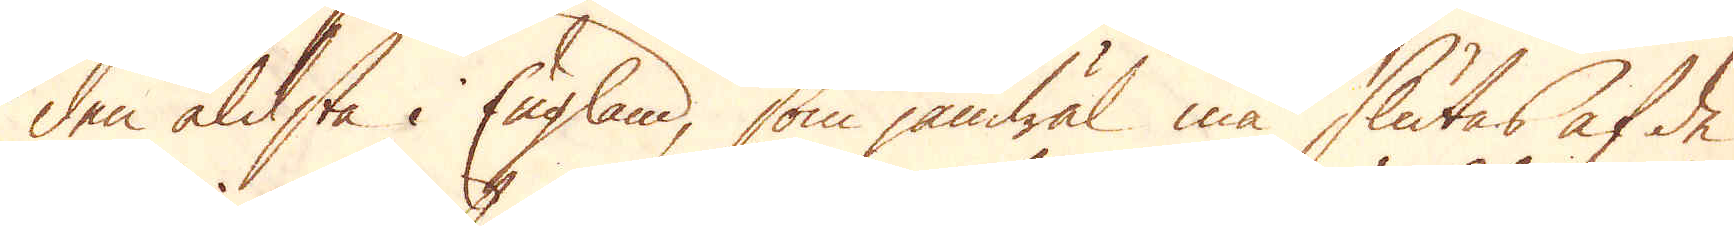den äldsta i England, som jämwäl må slutas af de
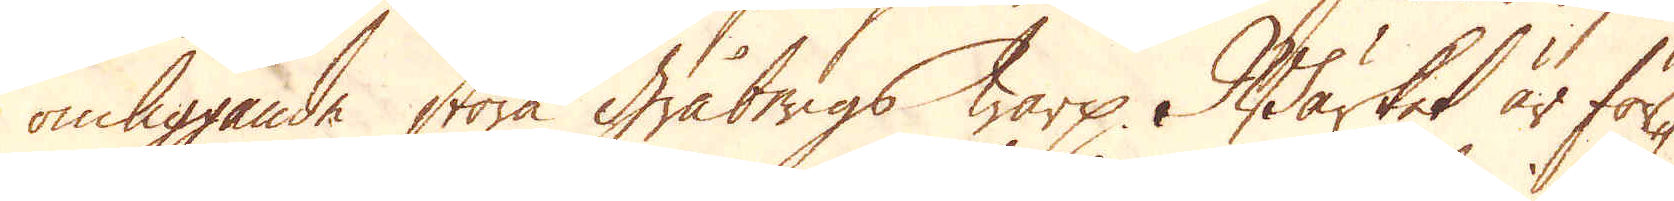omliggande stora Gråbergs warp. Wärket är för-
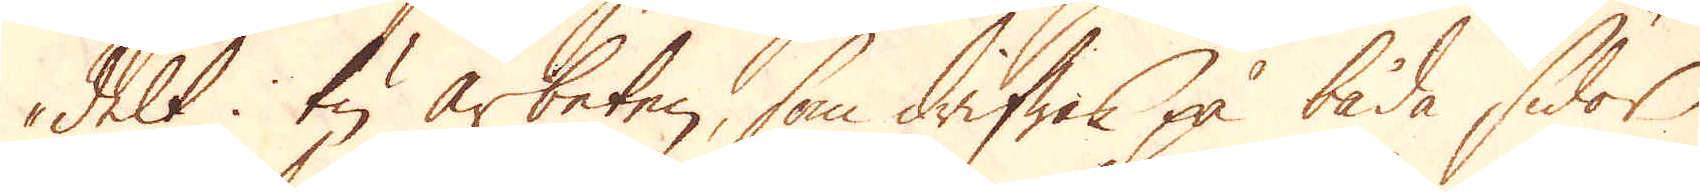delt i tu arbeten, som drifwes på båda sidor
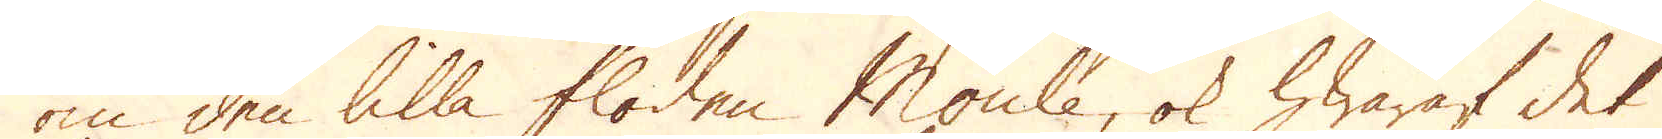om den lilla floden Moule, ok hwaraf det
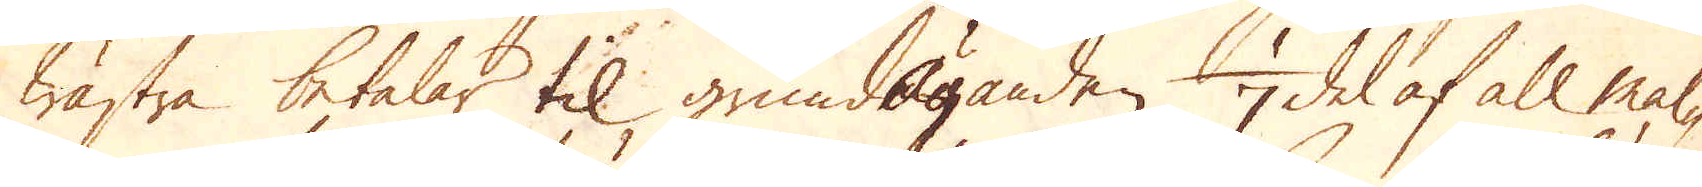wästra betalar til grundäganden 1/7 del af all mal-
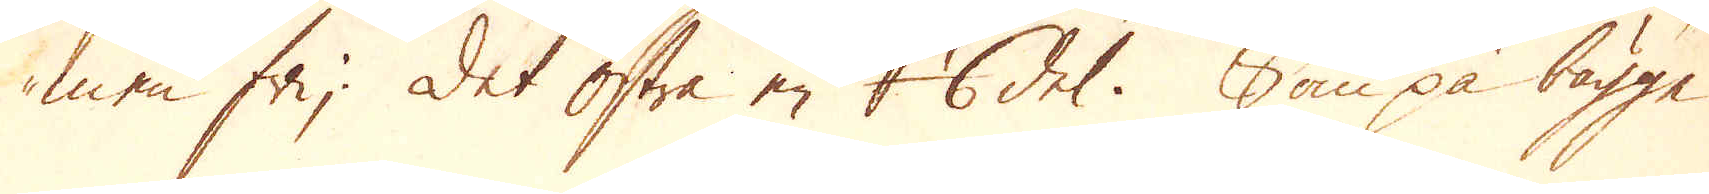men fr; Det Östre en 1/6 del. Som på bägge
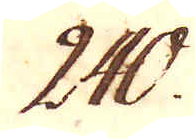240.
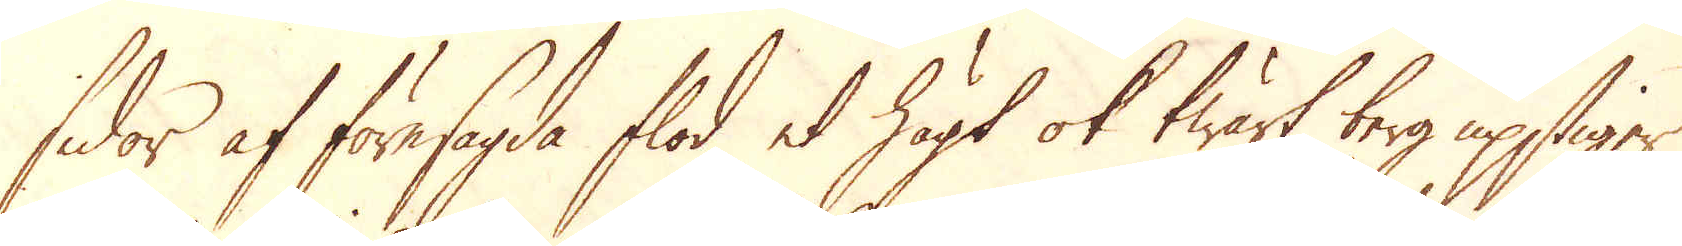sidor af föresagde flod et högt ok twärt berg upstiger,
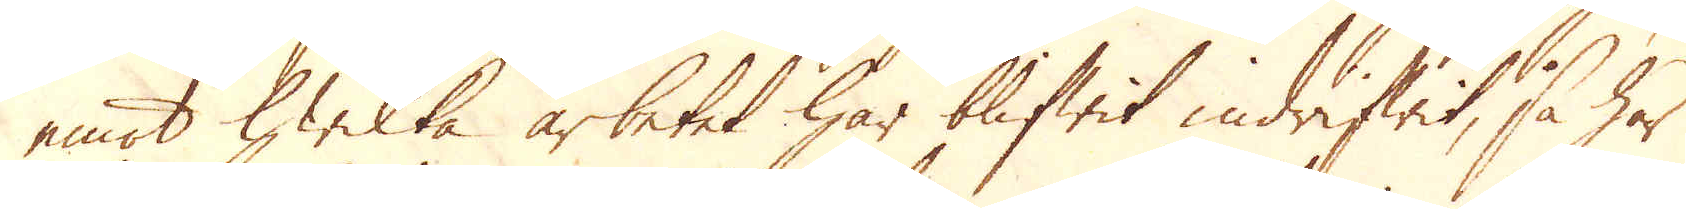emot hwilka arbetet har blifwit indrifwit, så har
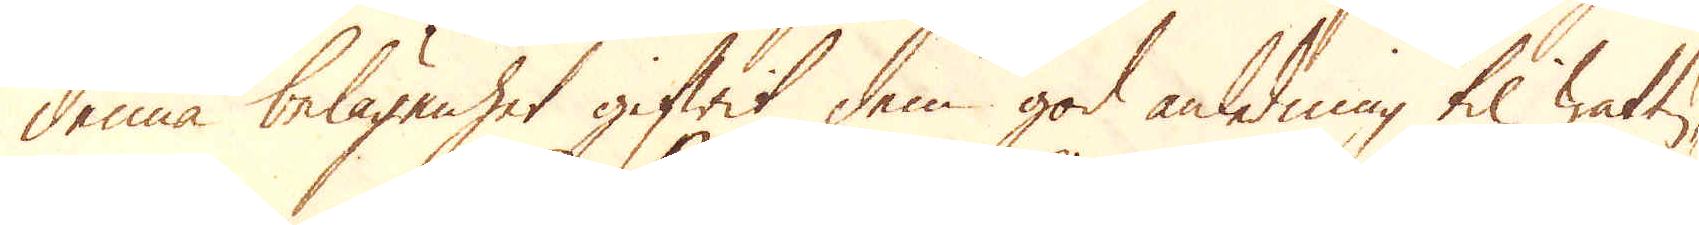denna belägenhet gifwit dem god anledning til wattu-
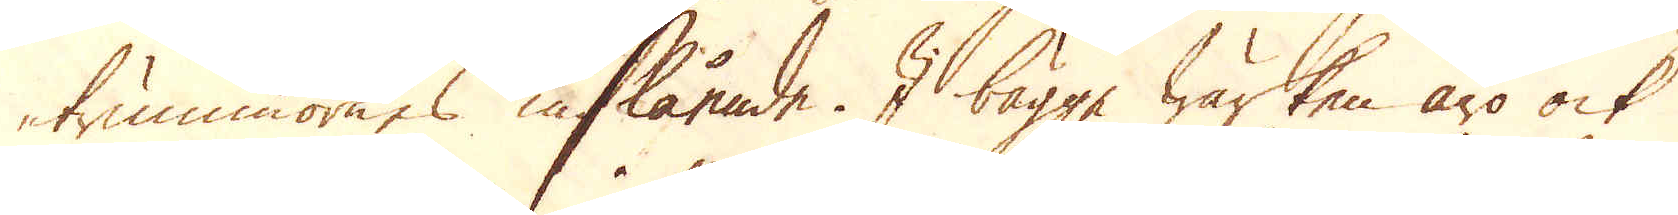trummornes inslående. I bägge Wärken äro ock
